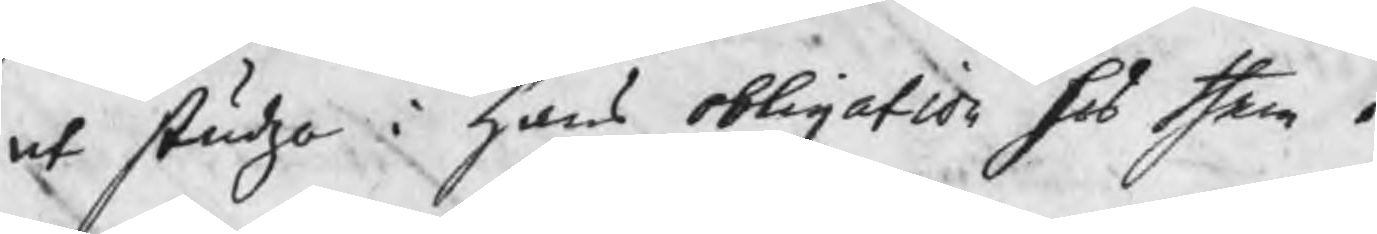at studsa i hans obligation för them.
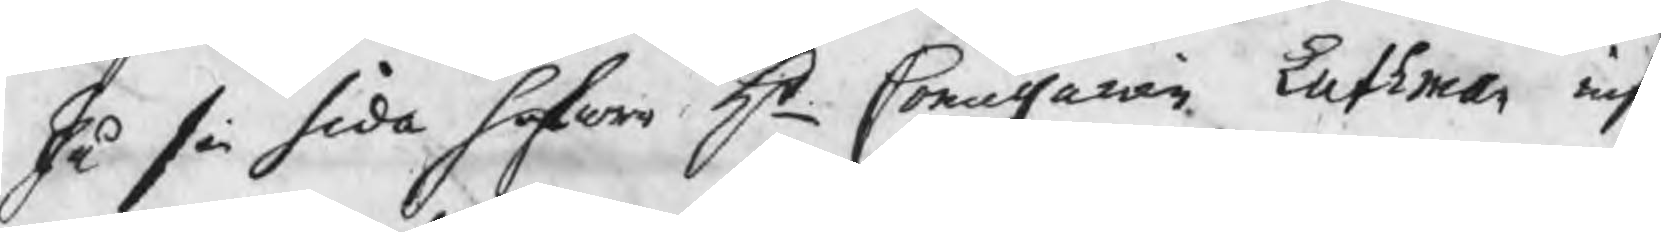På sin sida hafwa Hr Commissarien Luthman inf
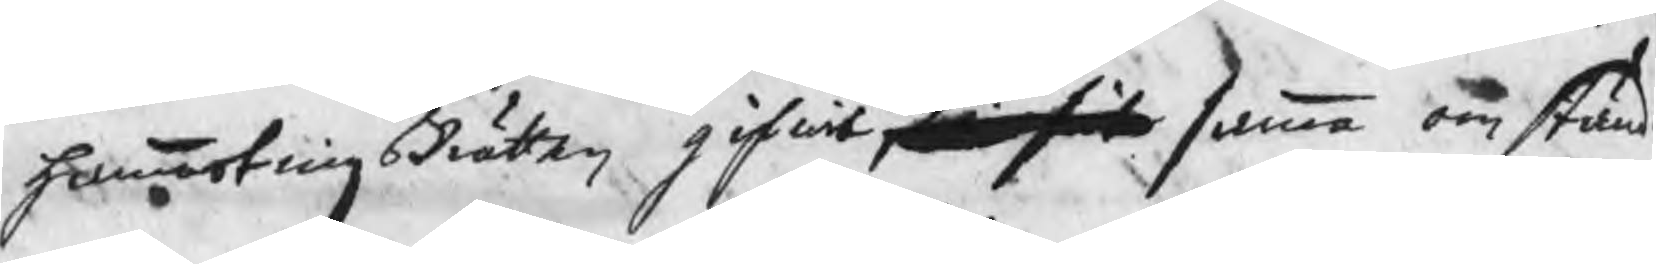hammartingsRätten gifwit t... samma omständ
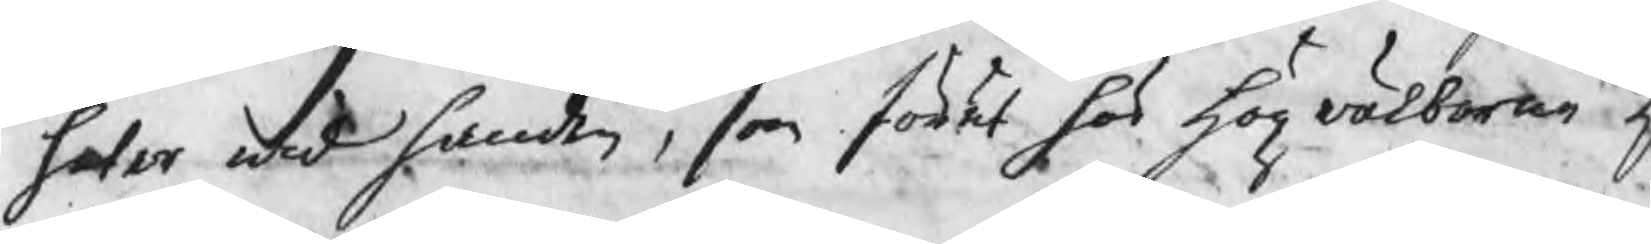heter wid handen, som förut hos högvälborne H
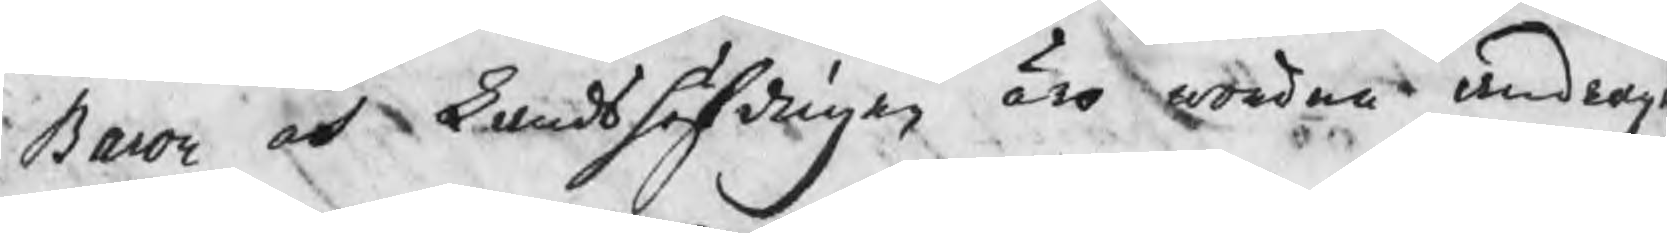Baron och Landshöfdingen äro wordna andrag
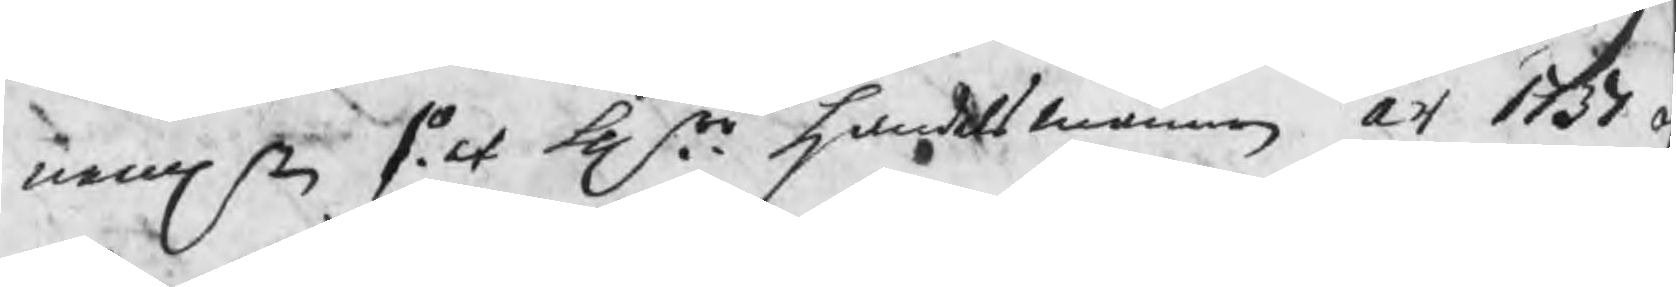nemln 1o. at Hrr handelsmännen år 1737 o
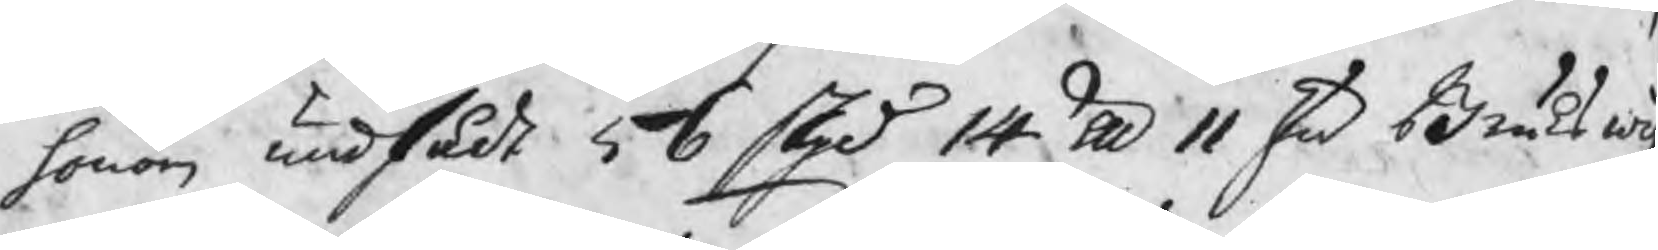honom undfådt 56 skpd 14 lp 11 s Brukswig
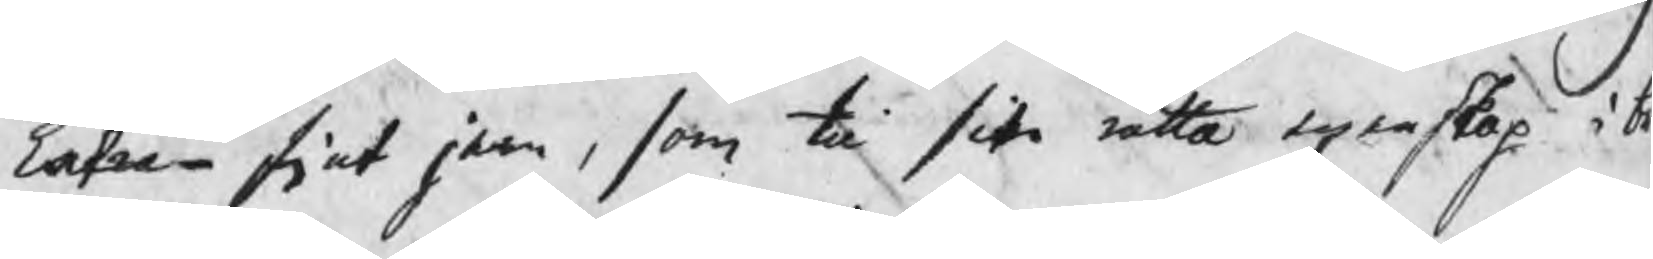Extra fint jern, som til sin rätta egenskap i b
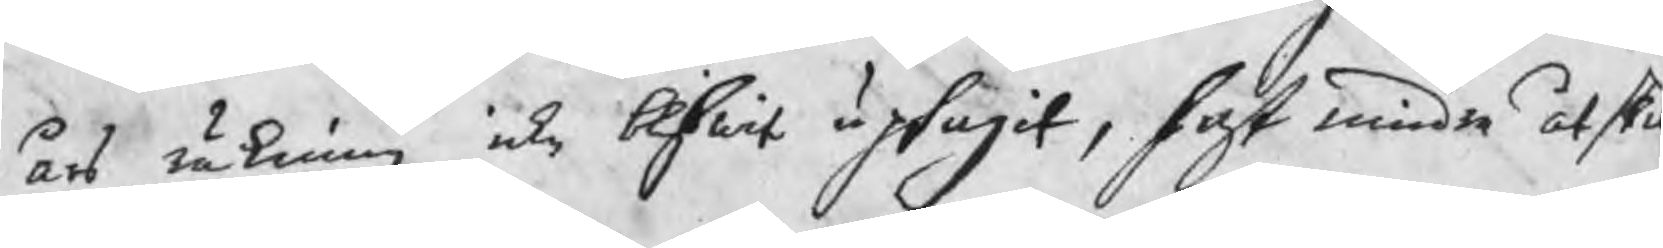års räkning icke blifwit uptagit, fast mindre åtski
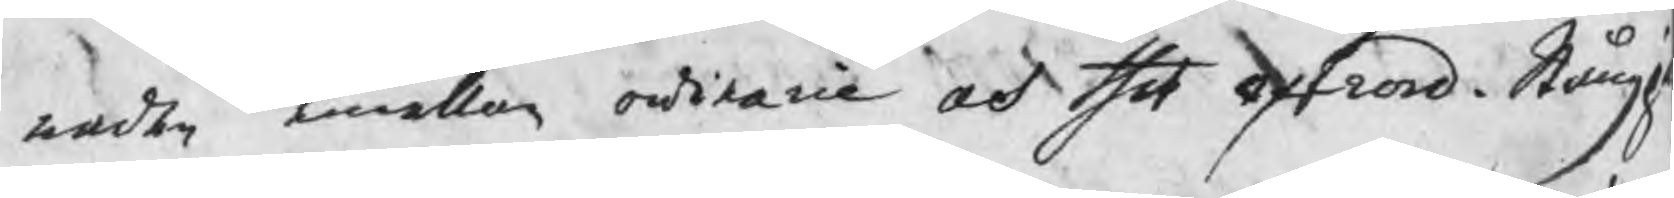nader emellan ordinarie och thet extrord. Stångj
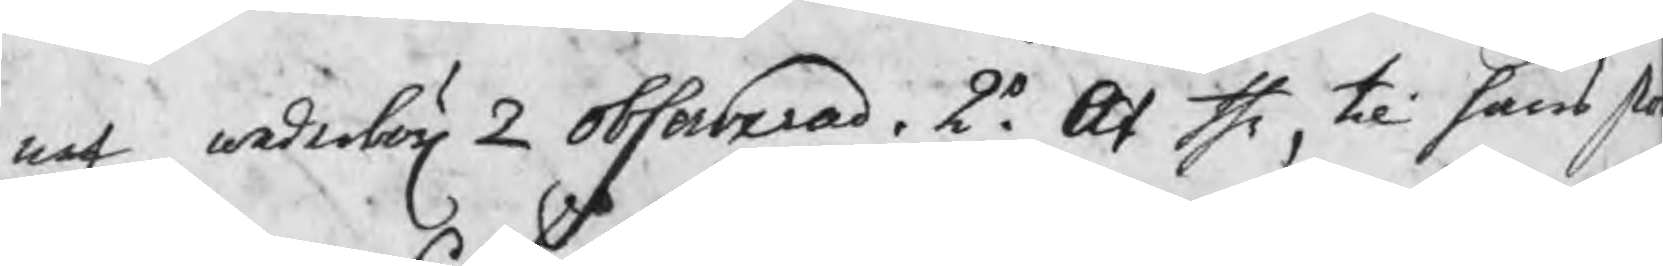net wederbör 2 observerad. 2o. At the, til hans sto
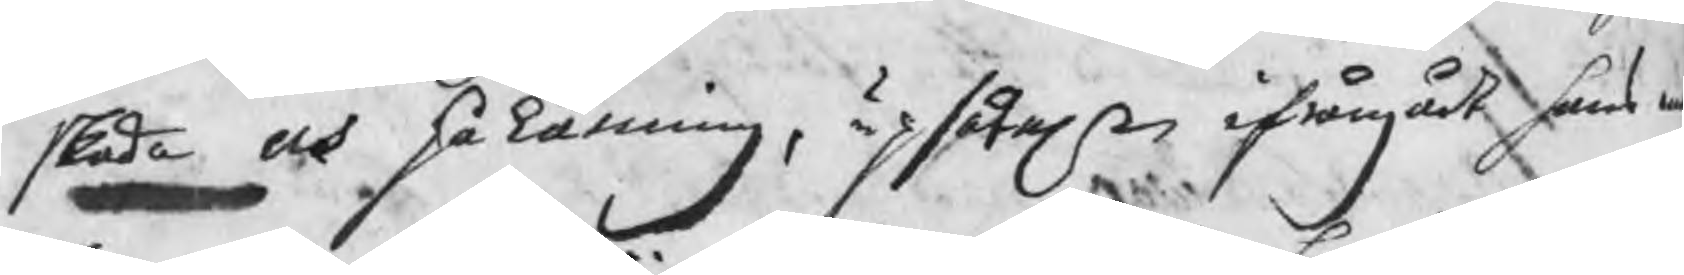skada och påkänning, upsåteln ifrångådt hans m
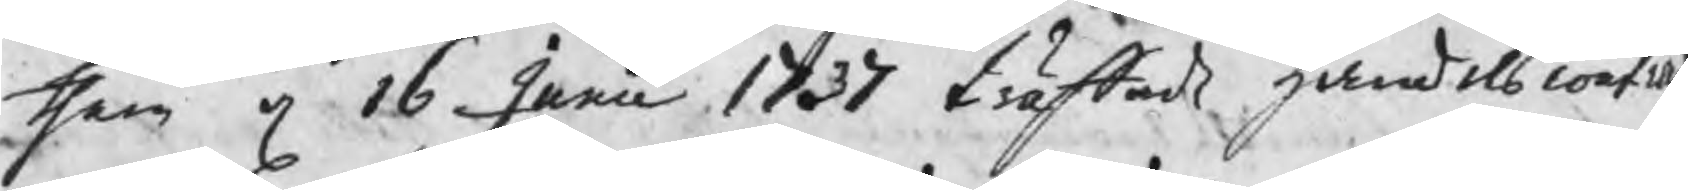them d 16 Junii 1737 träffade handelsconfi
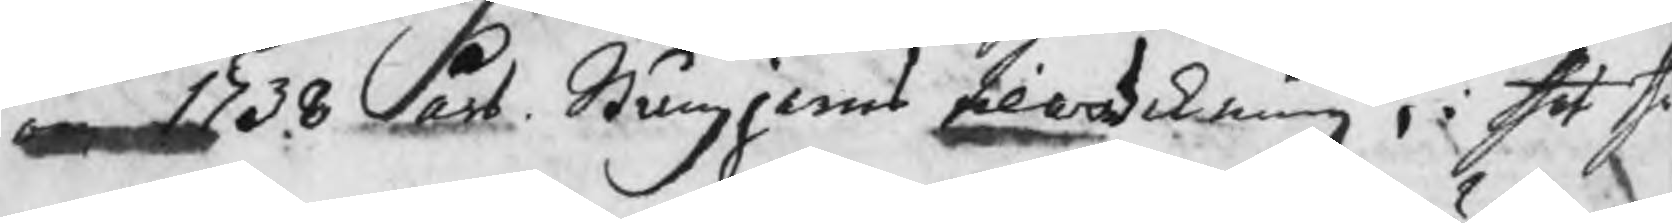om 1738 års Stångjerns tilwerkning , i thet the
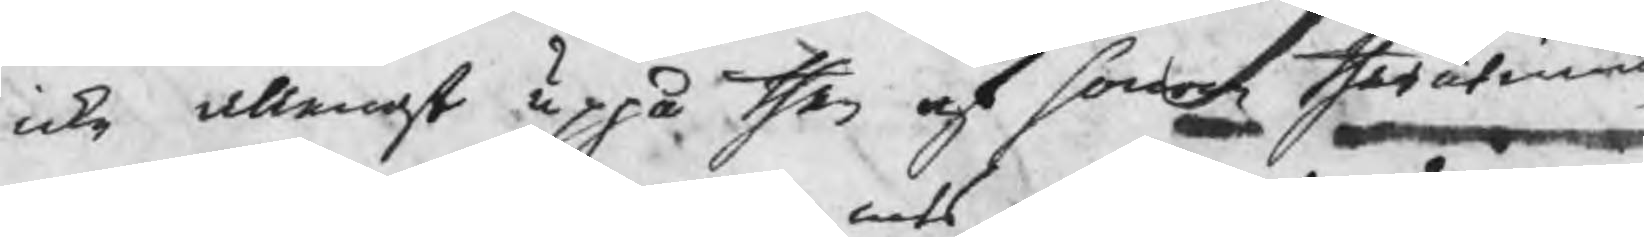icke allenast uppå then af honom therutinnan
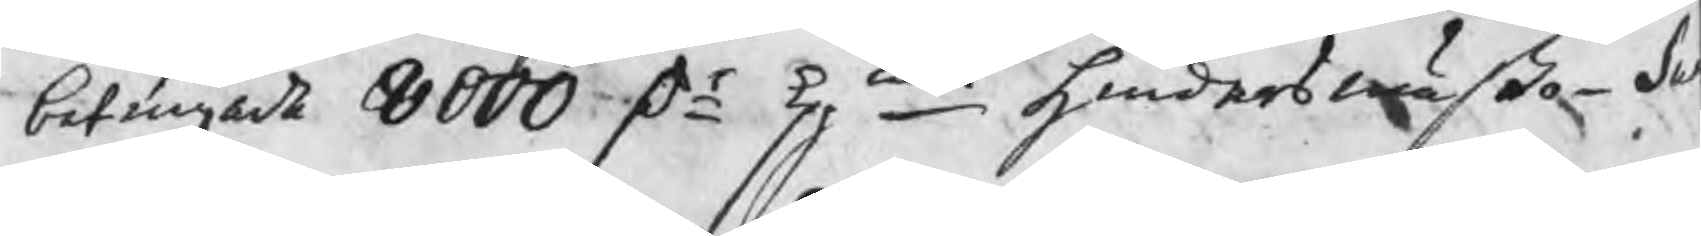betingade 8000 Dr kpmts hindersmäßo S
